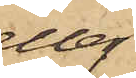eller
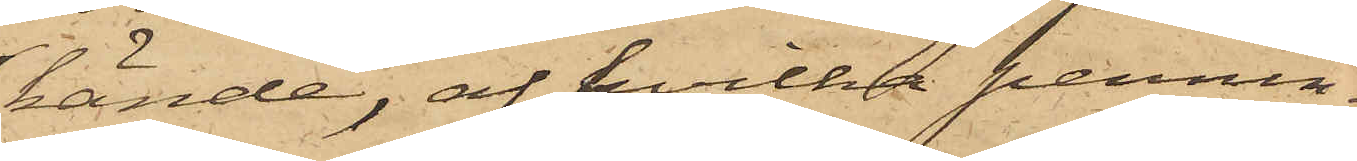kände, af hvilka pennin¬
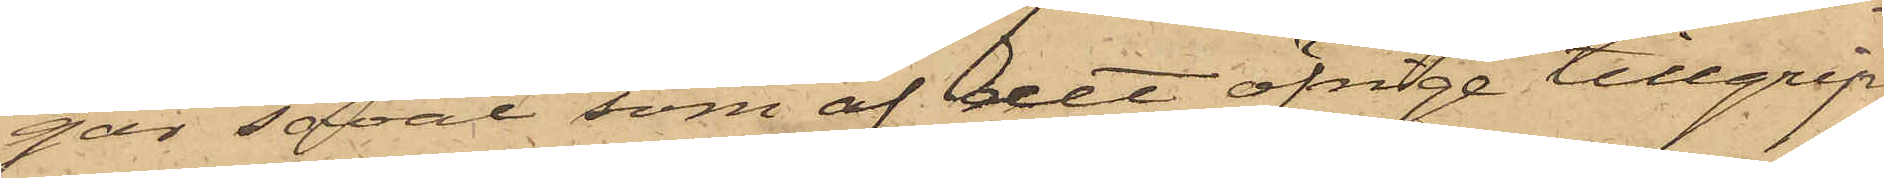gar såväl som af det öfrige tillgrip¬
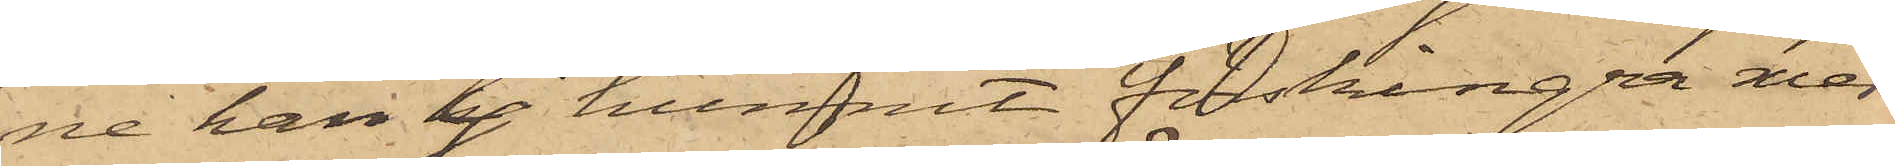ne han ej hunnit förskingra mer
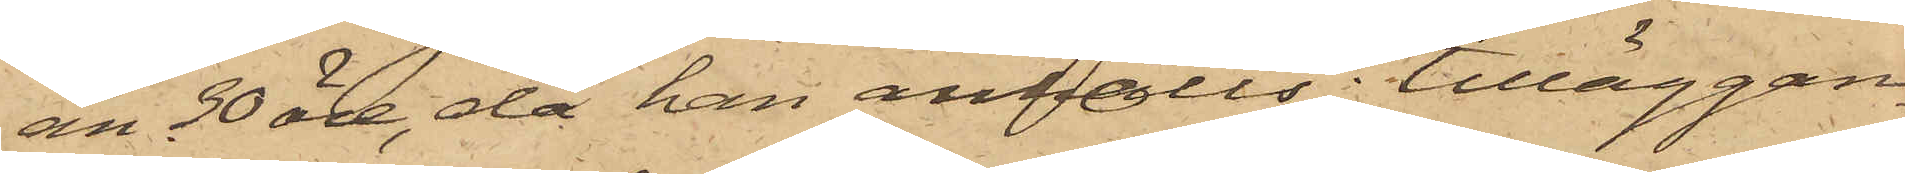än 30 öre, då han anhölls; tilläggan¬
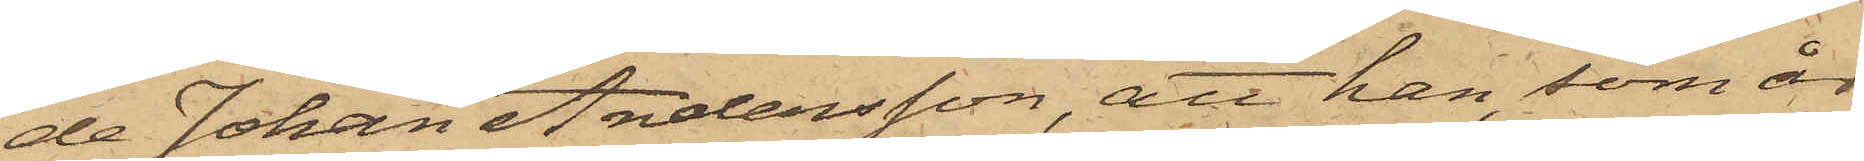de Johan Andersson, att han som år
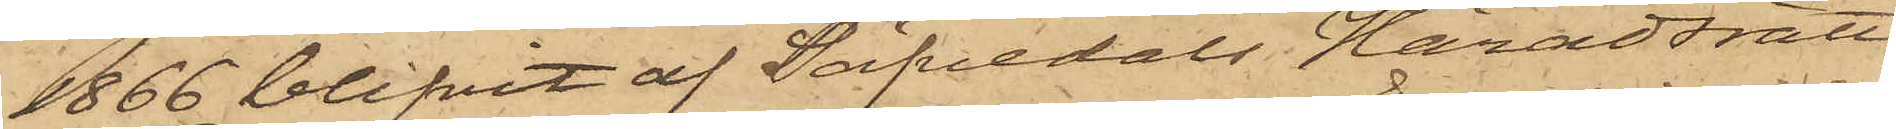1866 blifvit af Säfvedals Häradsrätt,
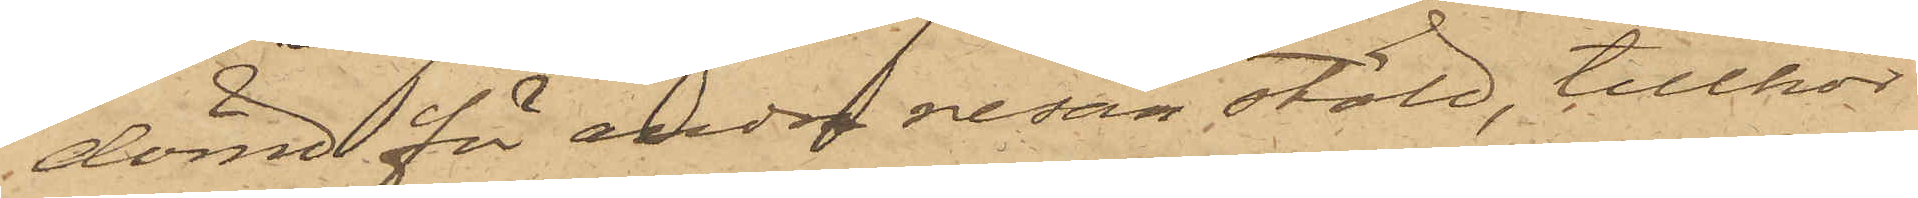dömd för andra resan stöld, tillhör
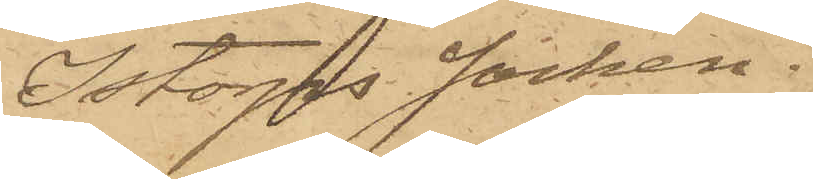Istorps socken.
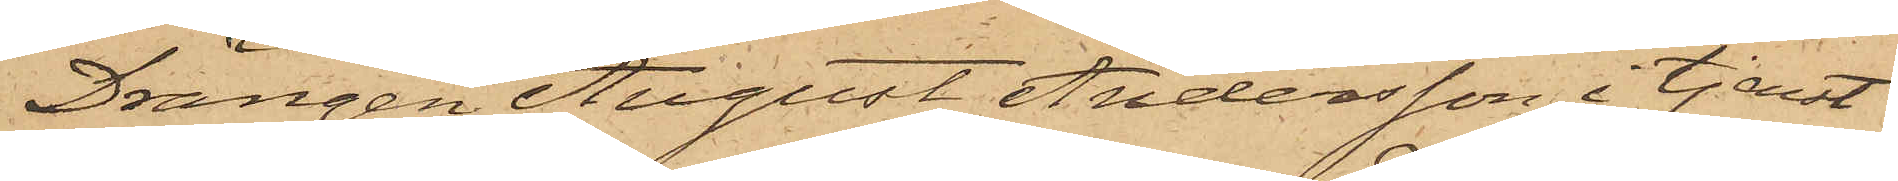Drängen August Andersson, i tjenst
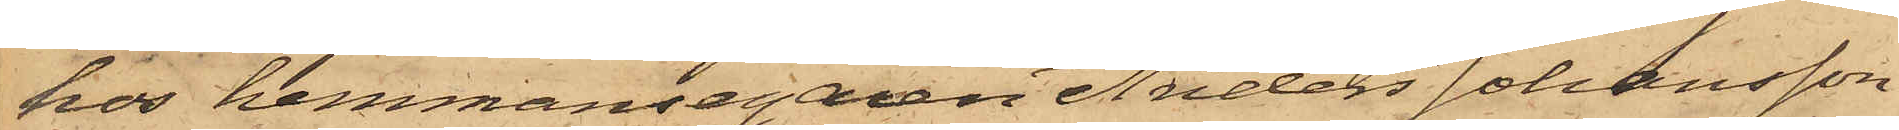hos hemmansegaren Anders Johansson
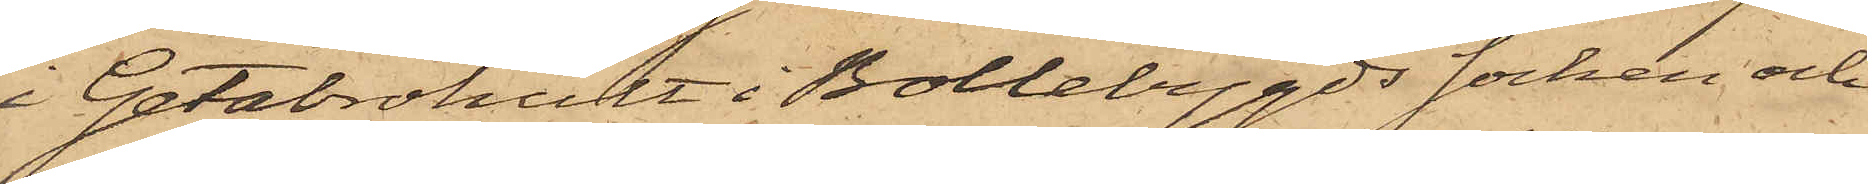i Getabrohult i Bollebygds Socken och
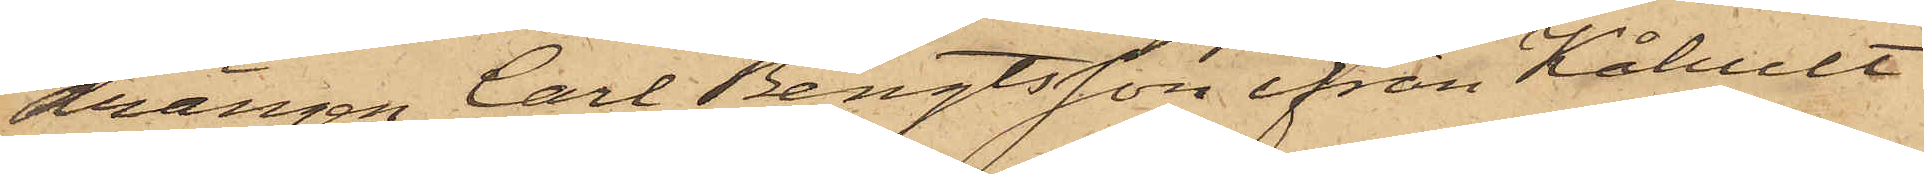drängen Carl Bengtsson ifrån Kåhult
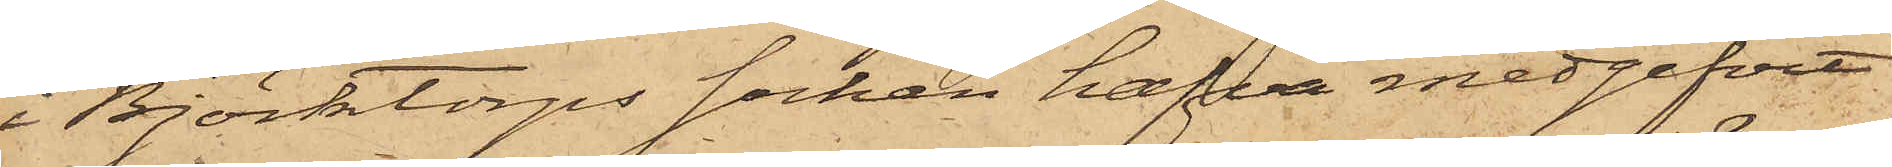i Björktorps socken hafva medgifvit
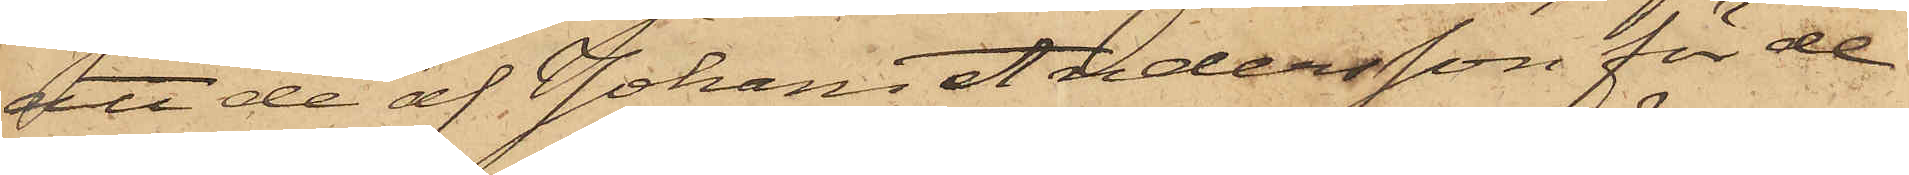att de af Johan Andersson för de
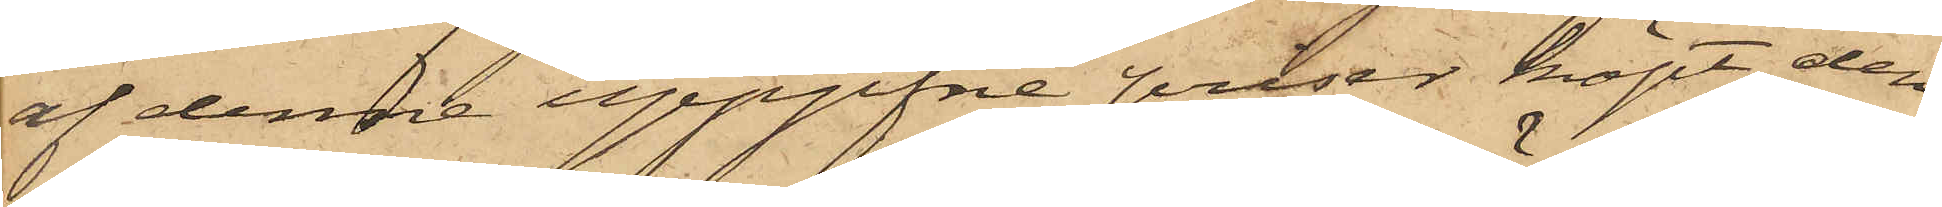af denne uppgifne priser köpt, den
